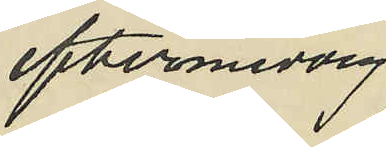eftermiddag
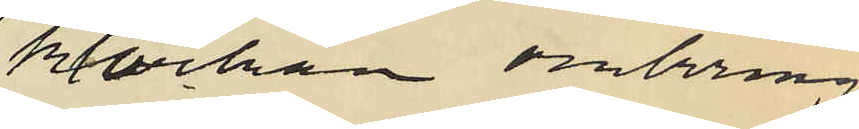klockan omkring
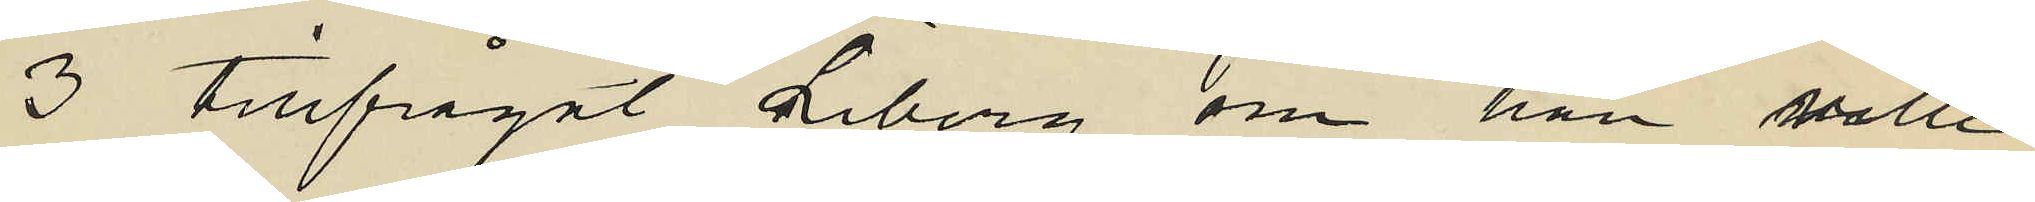3 tillfrågat Liberg om han villle
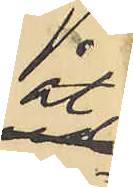åt
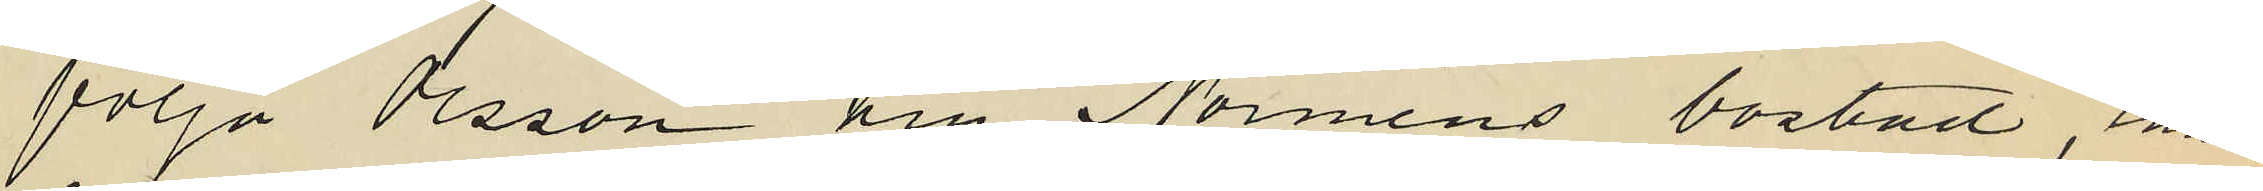följa Olsson till Norméns bostad, enär
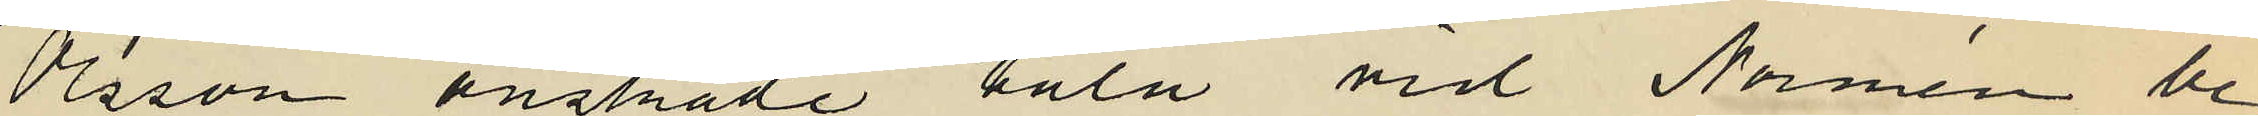Olsson önskade tala vid Normén be¬
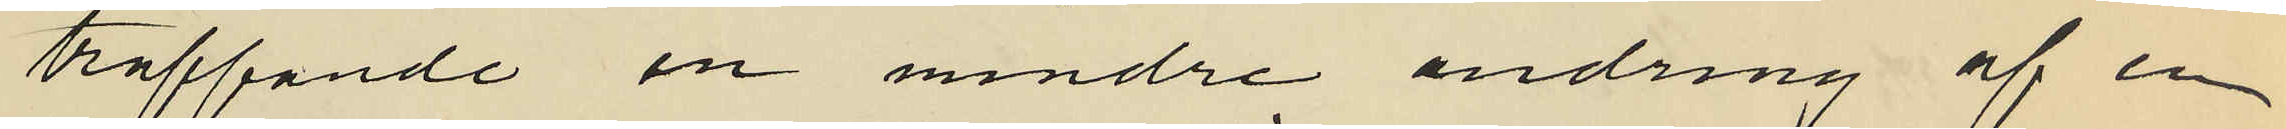träffande en mindre ändring af en
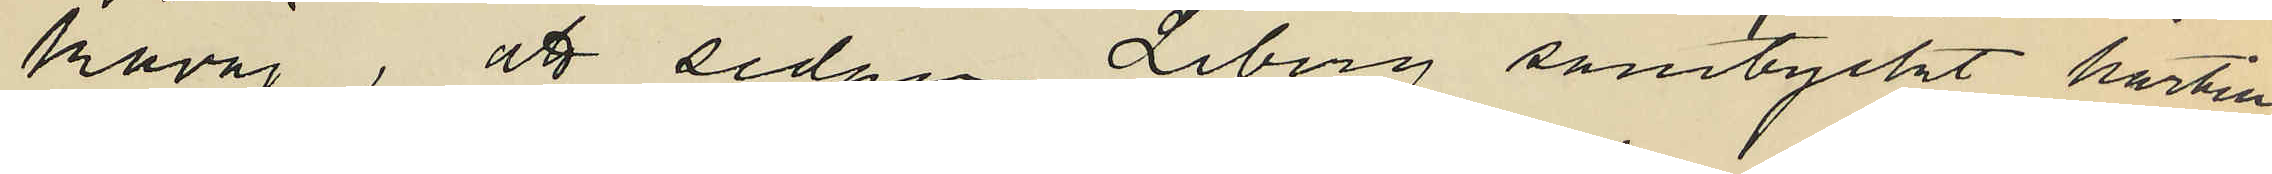kavaj, att sedan Liberg samtyckt härtill
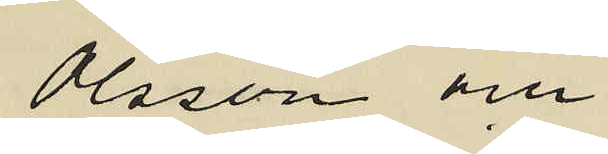Olsson och
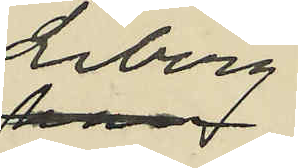Liberg
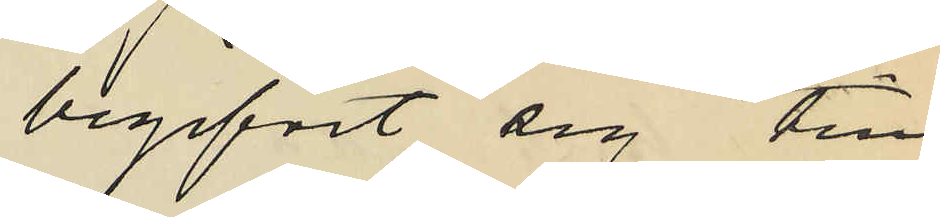begifvit sig till
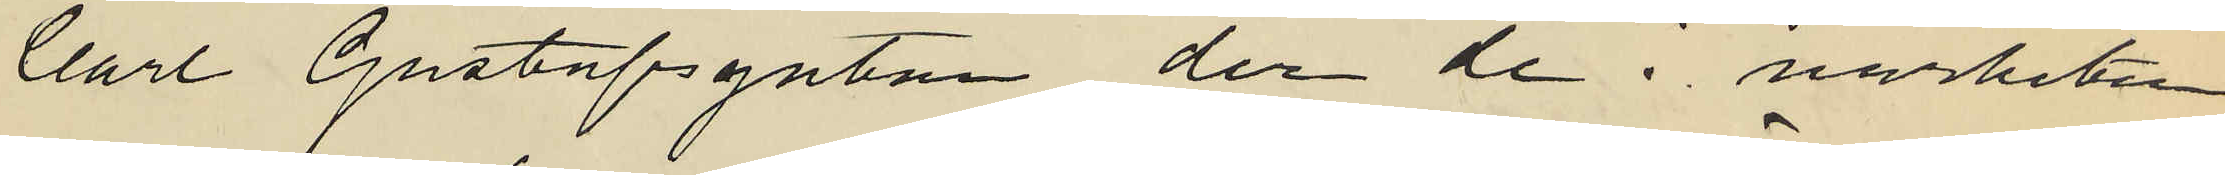Carl Gustafsgatan, der de i närheten
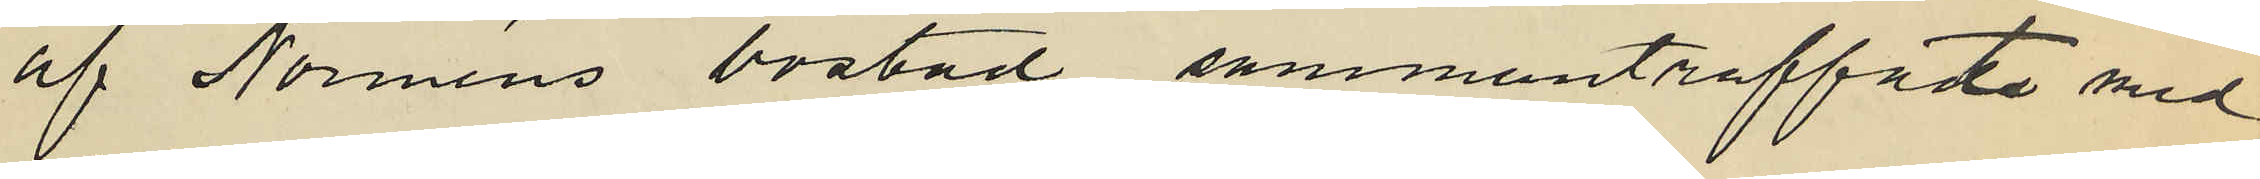af Norméns bostad sammanträffade med
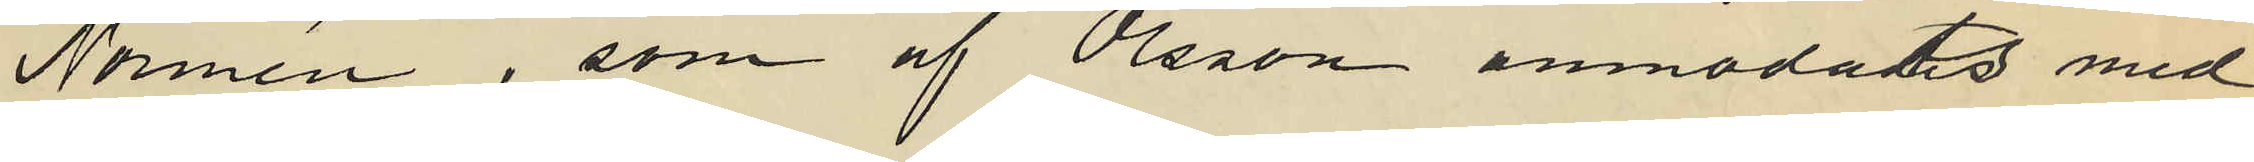Normén, som af Olsson anmodats med
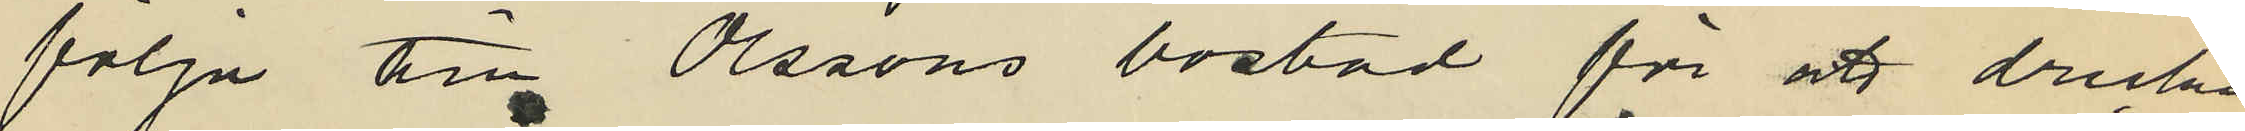följa till Olssons bostad för att dricka
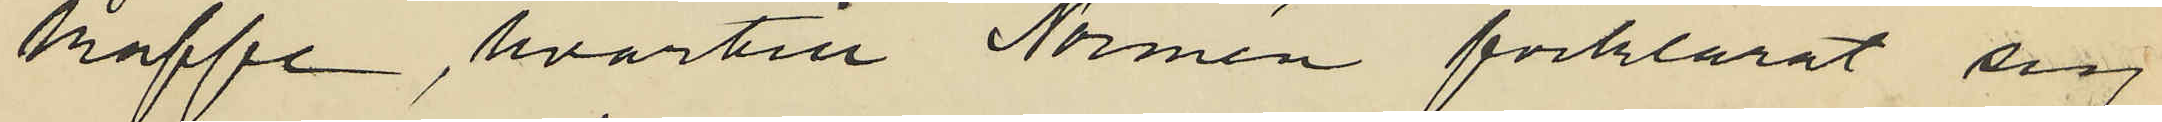kaffe, hvartill Normén förklarat sig
